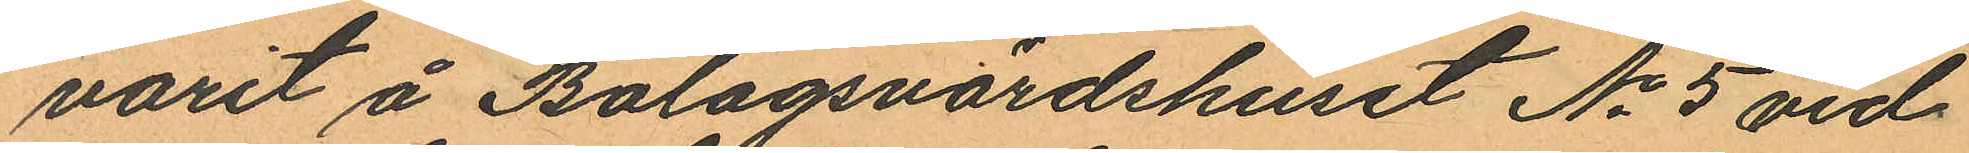varit å Bolagsvärdshuset No 5 vid
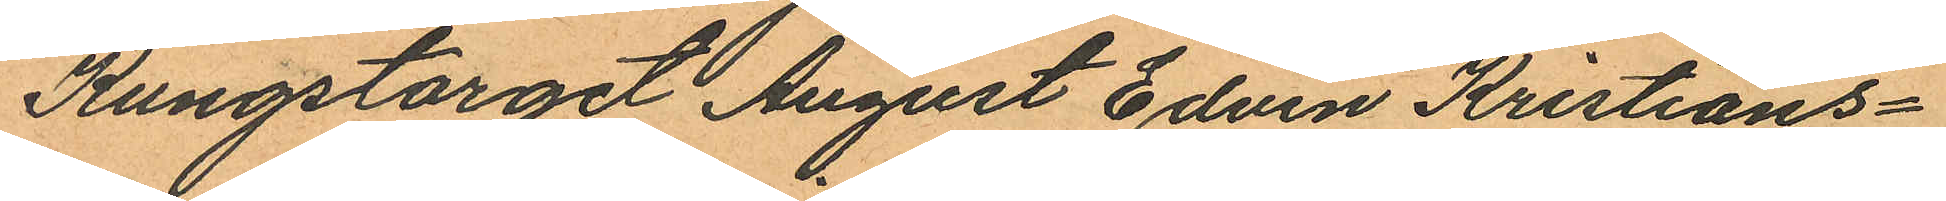Kungstorget August Edvin Kristians¬
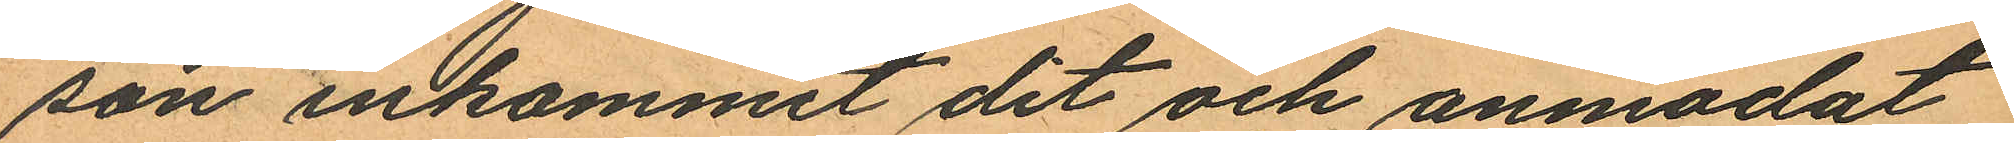son inkommit dit och anmodat
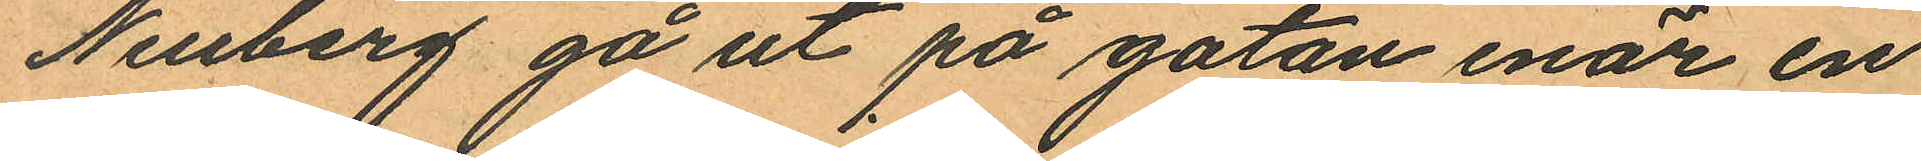Neuberg gå ut på gatan enär en
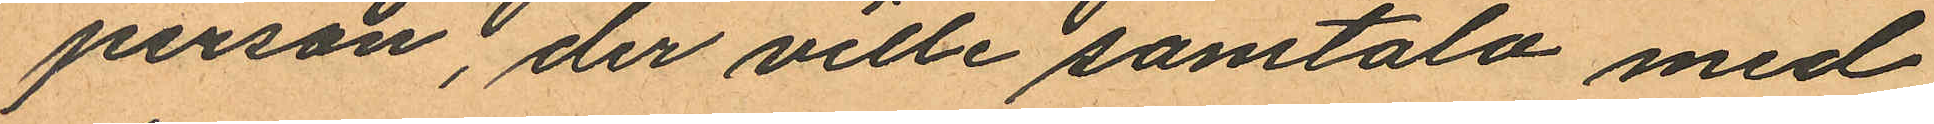person; der ville samtala med
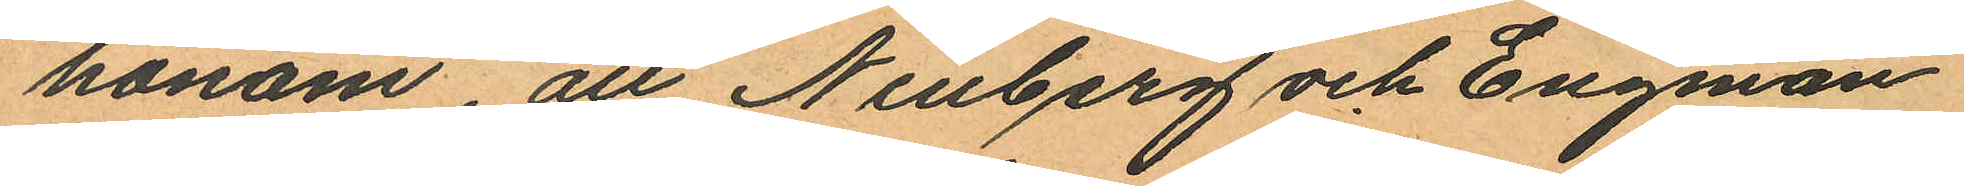honom att Neuberg och Engman
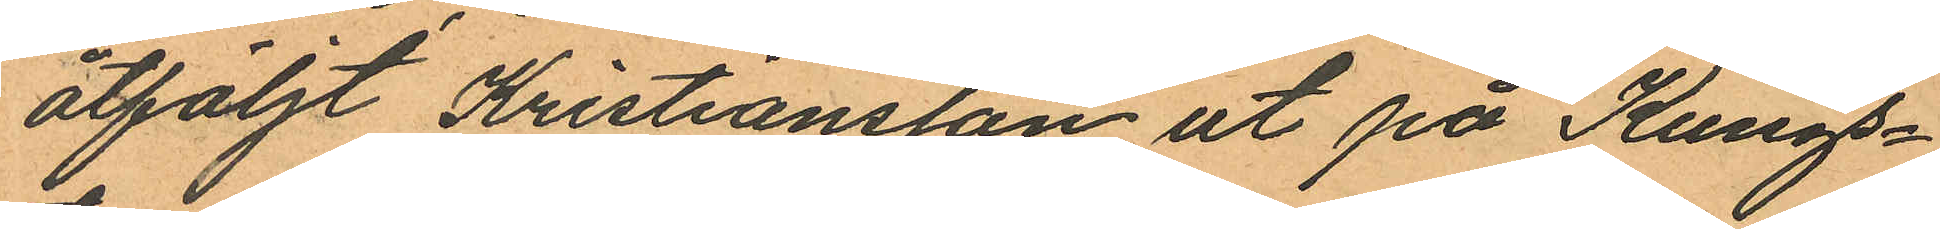åtföljt Kristiansson ut på Kungs¬
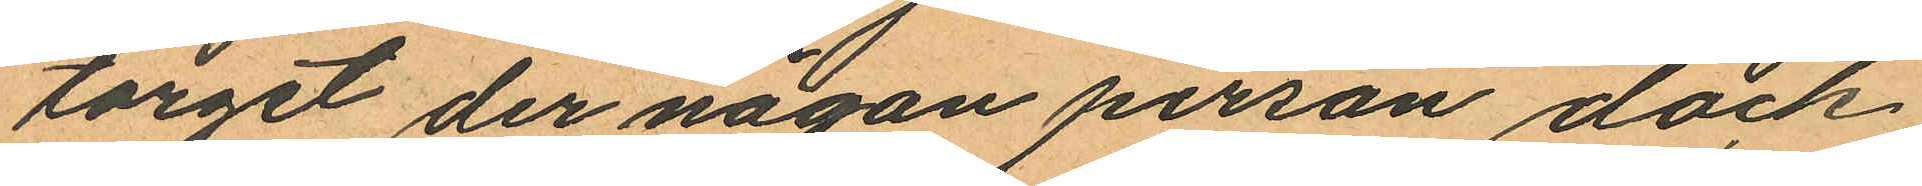torget der någon person dock
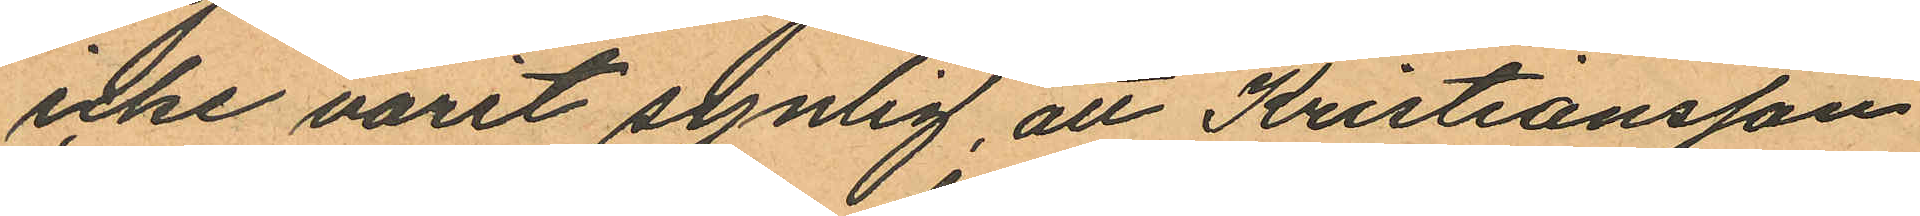icke varit synlig, att Kristiansson
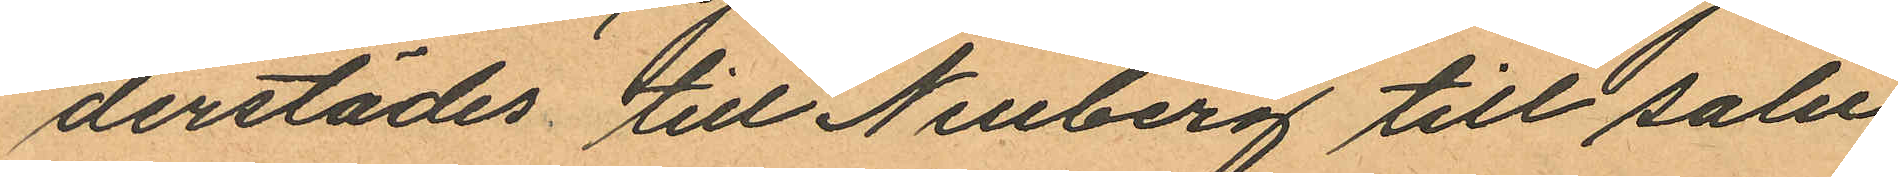derstädes till Neuberg till salu
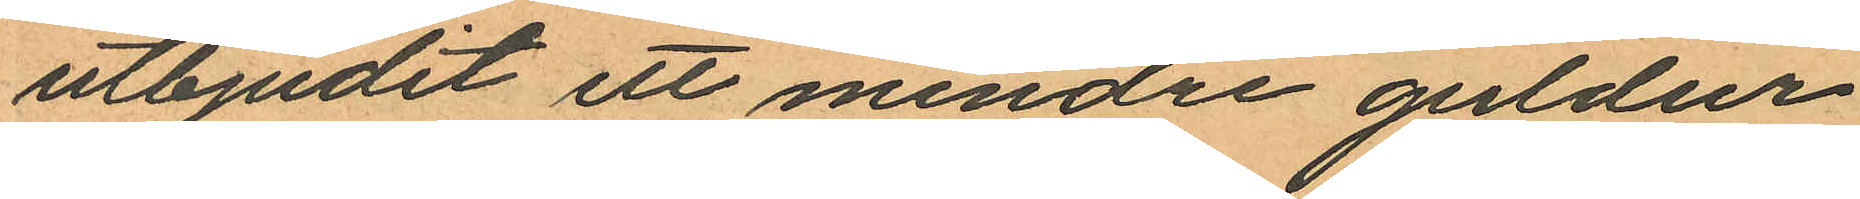utbjudit ett mindre guldur
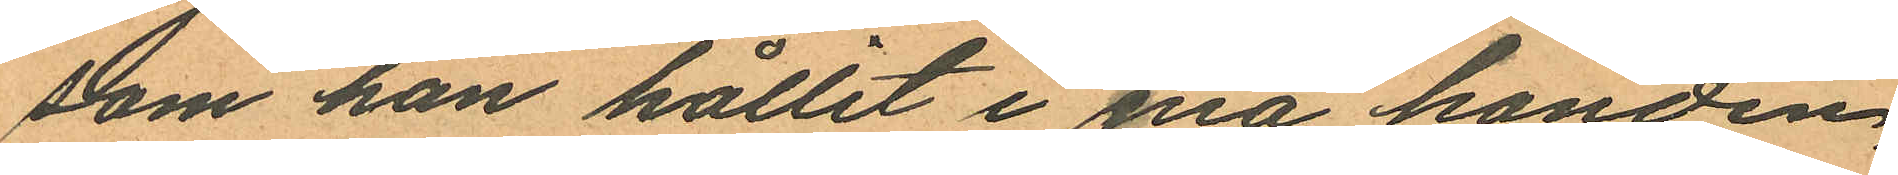som han hållit i ena handen,
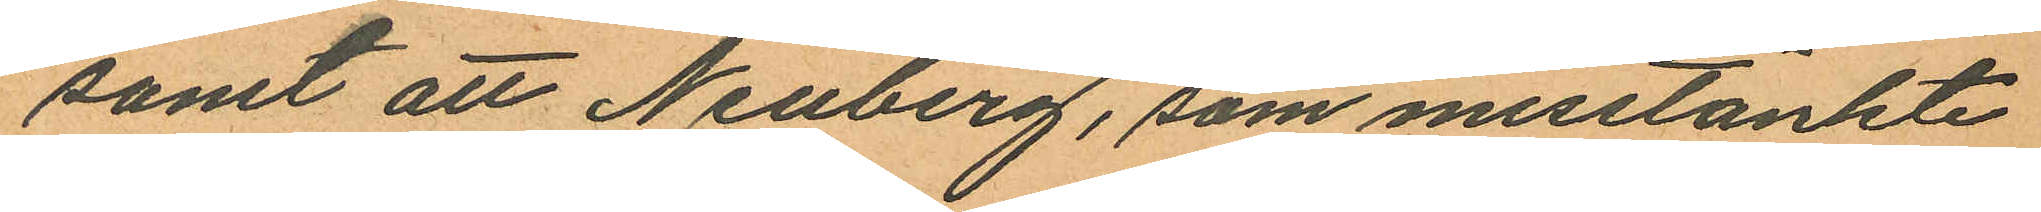samt att Neuberg, som misstänkte
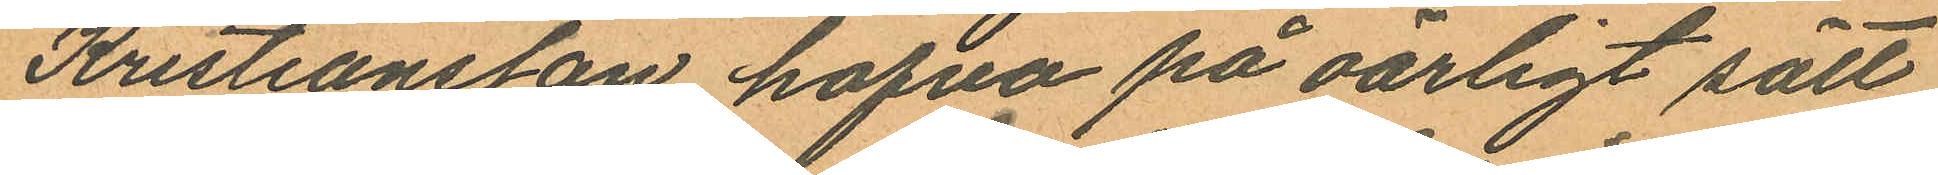Kristiansson hafva på oärligt sätt
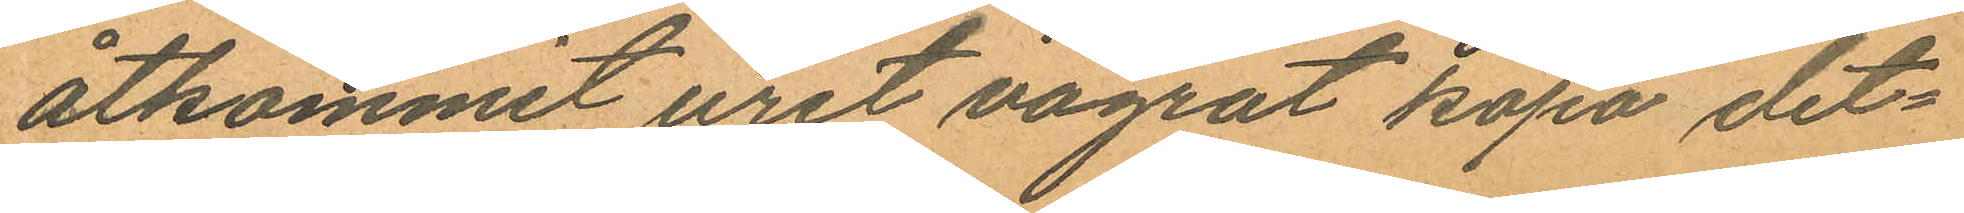åtkommit uret vägrat köpa det¬
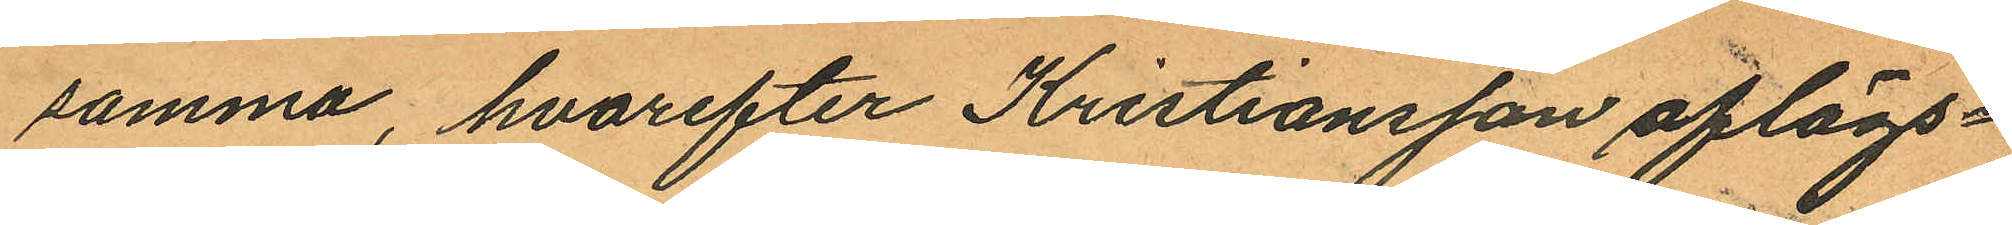samma, hvarefter Kristiansson aflägs¬
